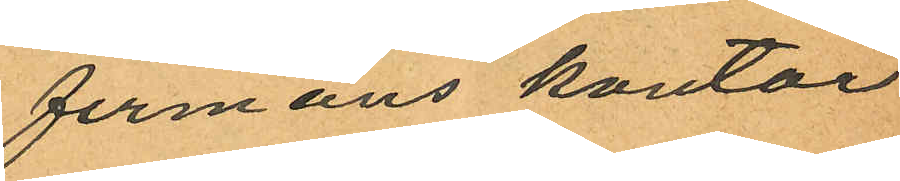firmans kontor
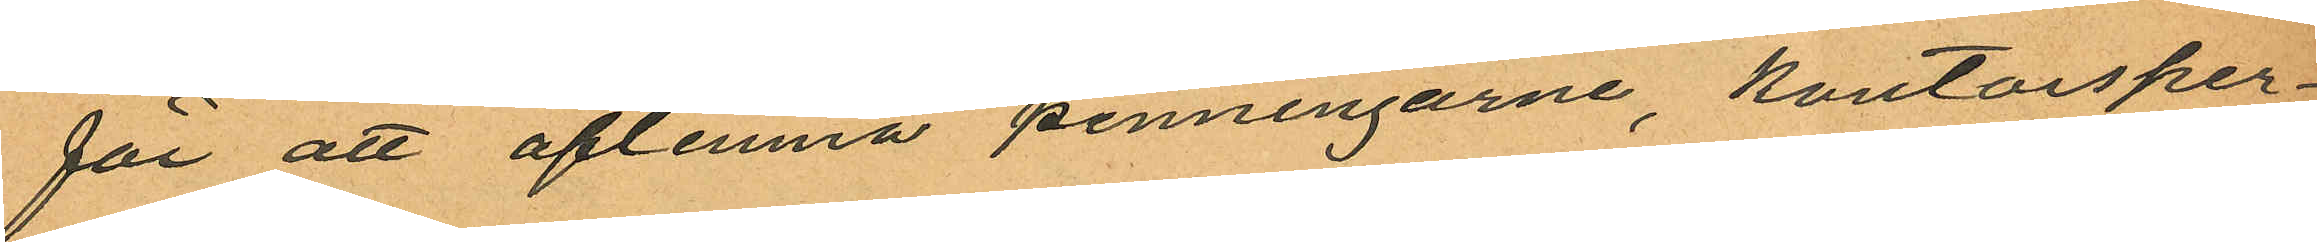för att aflemna penningarne, kontorsper¬
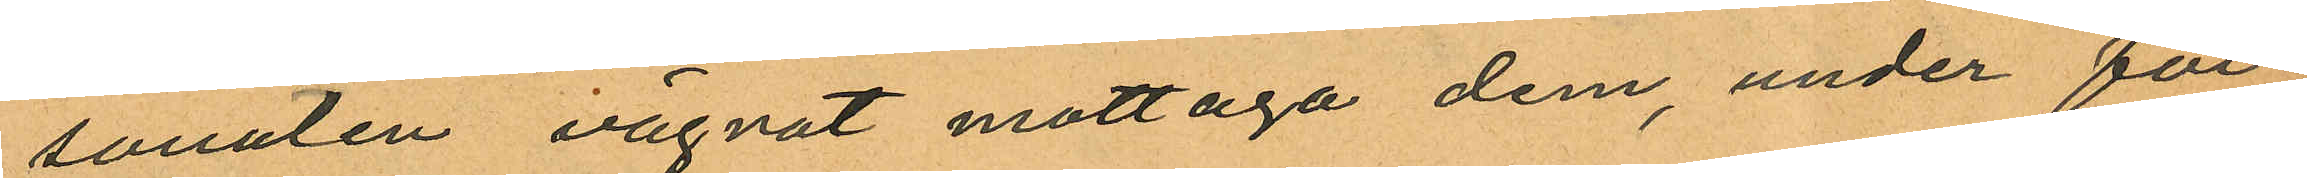sonalen vägrat mottaga dem, under för¬
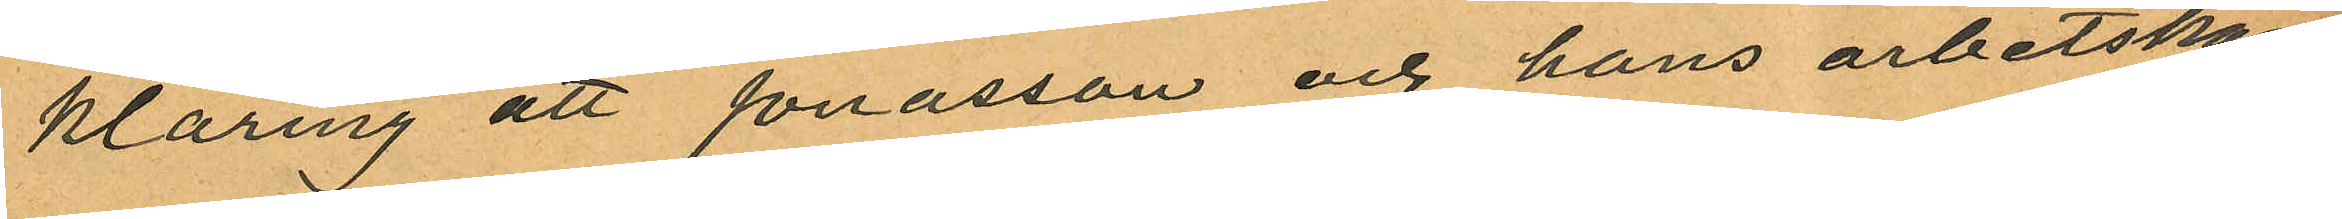klaring att Jonasson och hans arbetskam¬
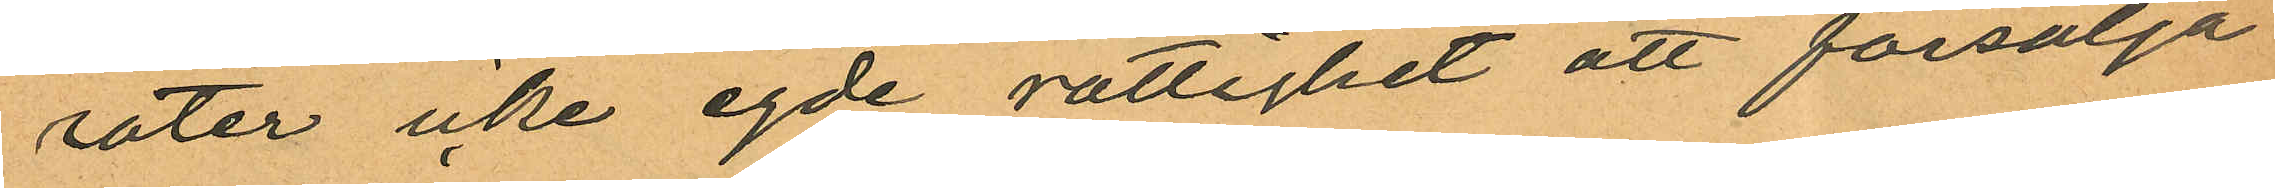rater icke egde rättighet att försälja
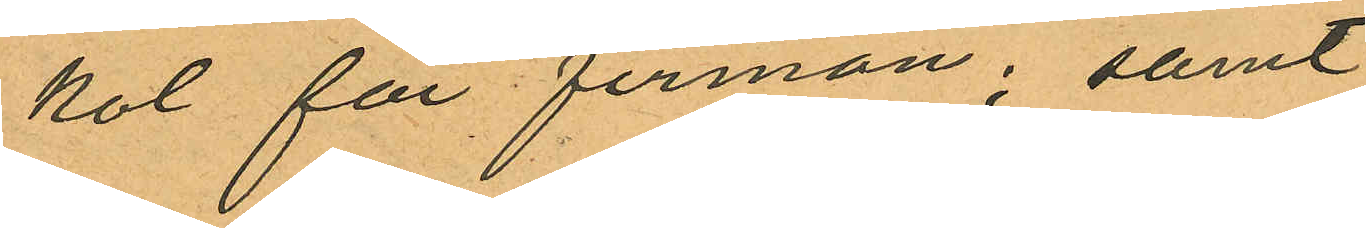kol för firman; samt
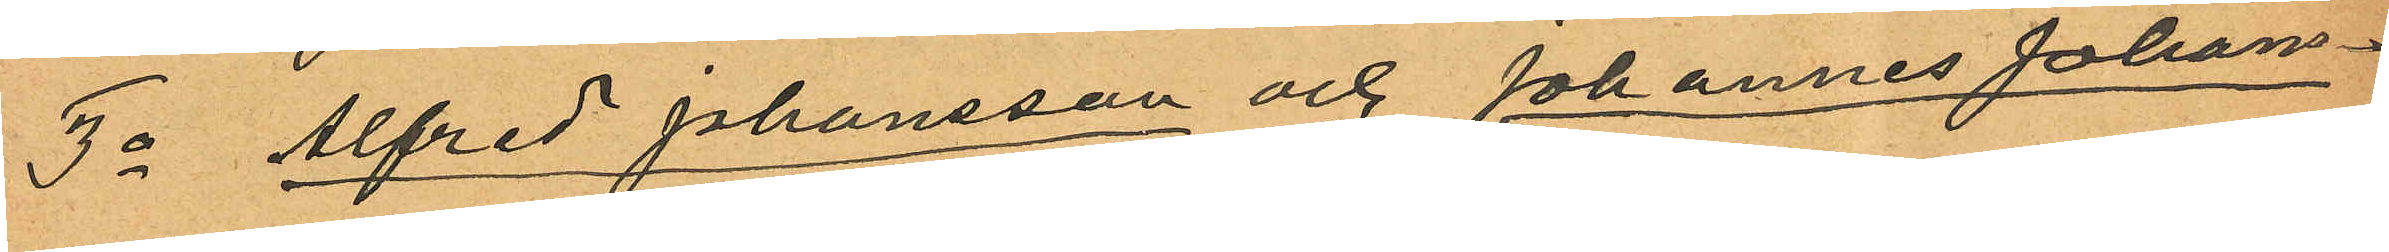3o Alfred Johansson och Johannes Johans¬
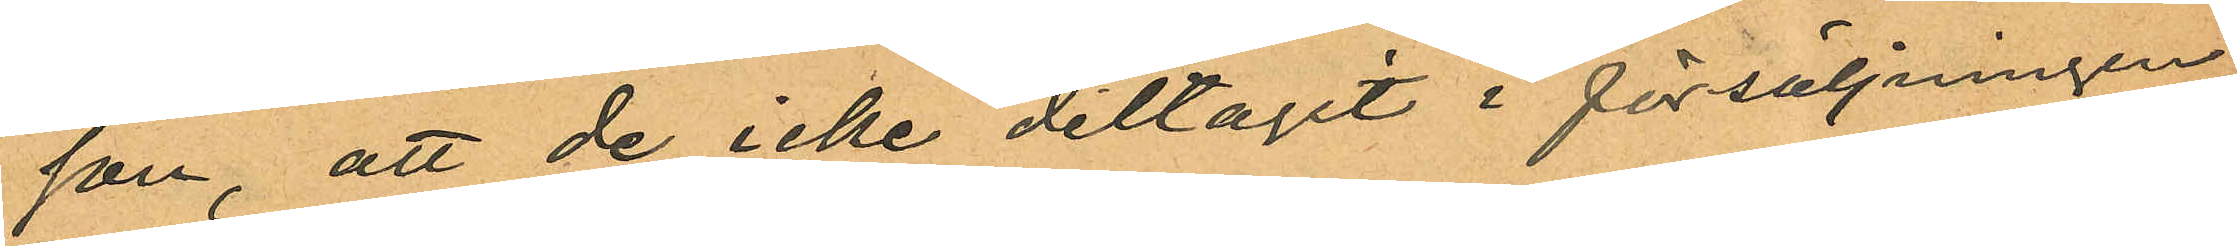son, att de icke deltagit i försäljningen
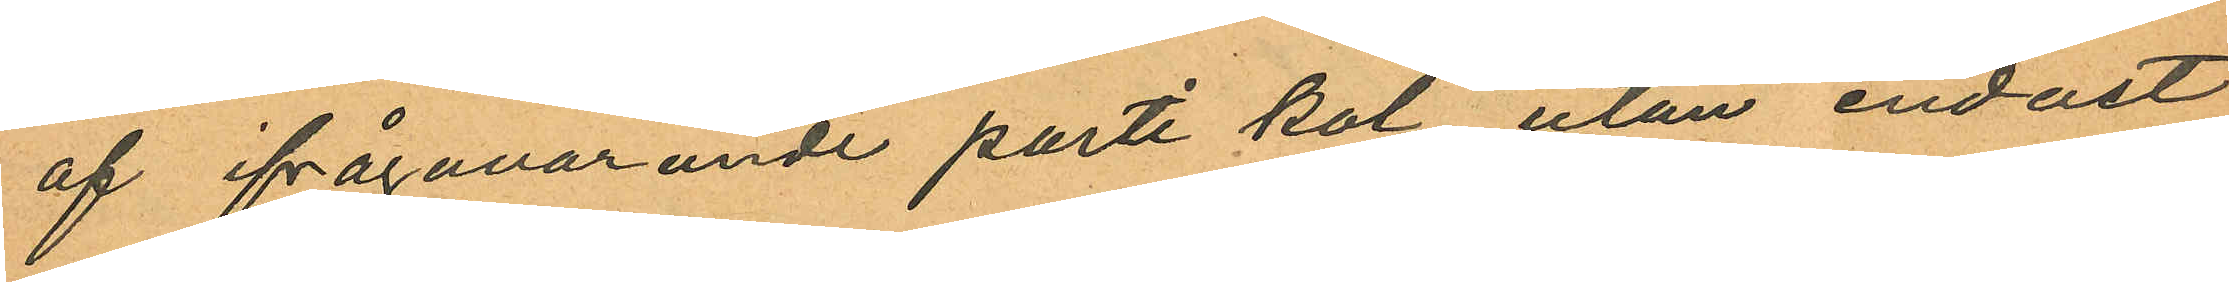af ifrågavarande parti kol utan endast
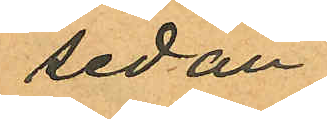sedan
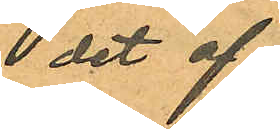 det af
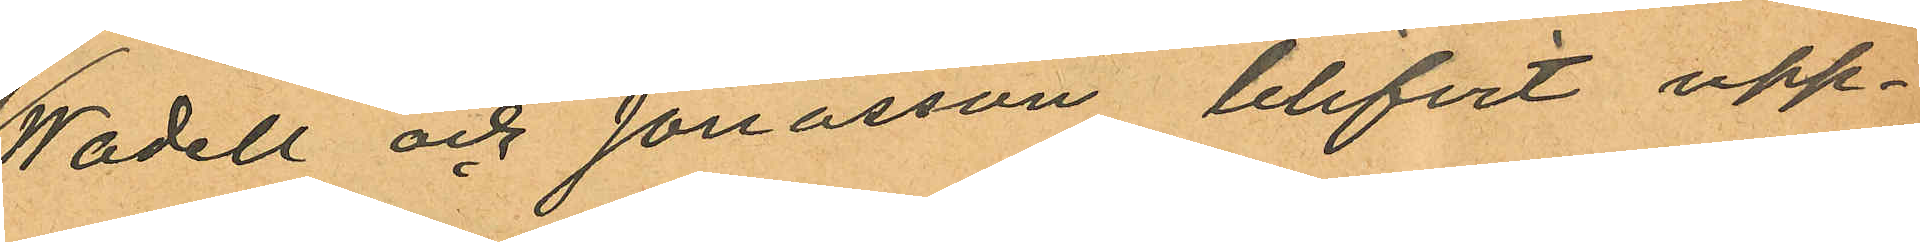Wadell och Jonasson blifvit upp¬
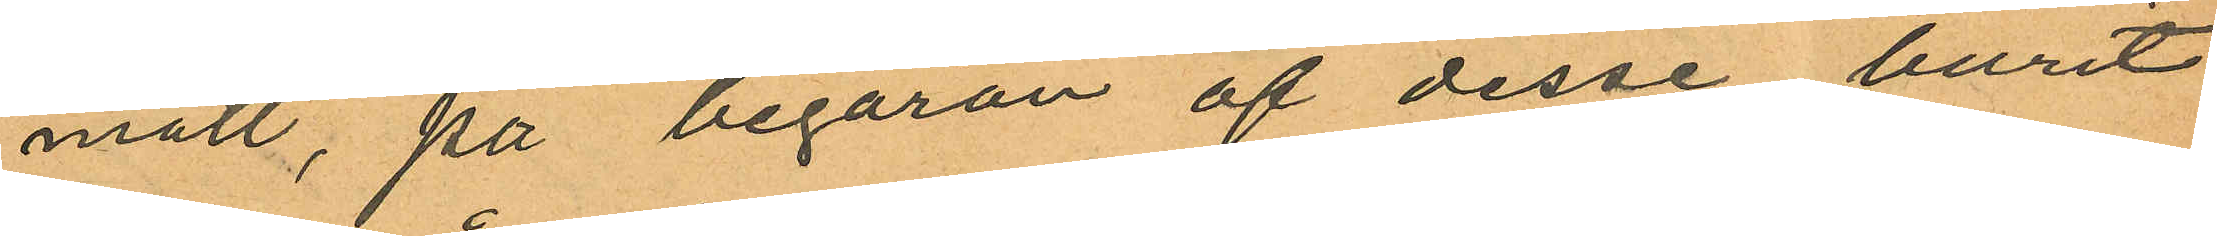mätt, på begäran af desse burit
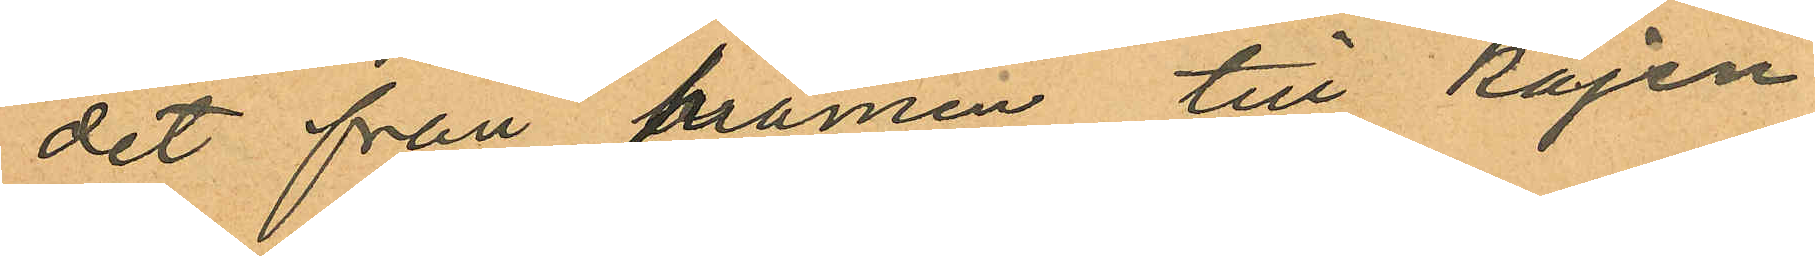det från pråmen till kajen.
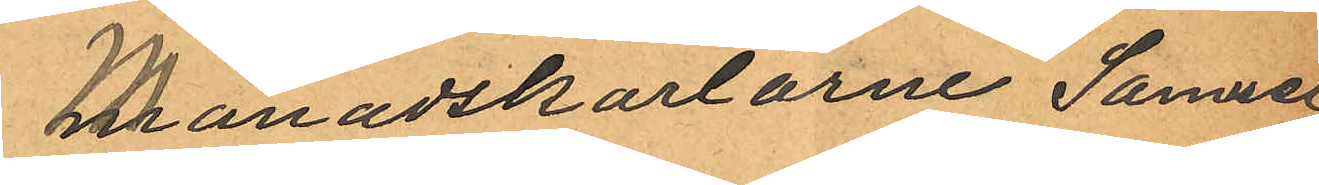Månadskarlarne Samuel
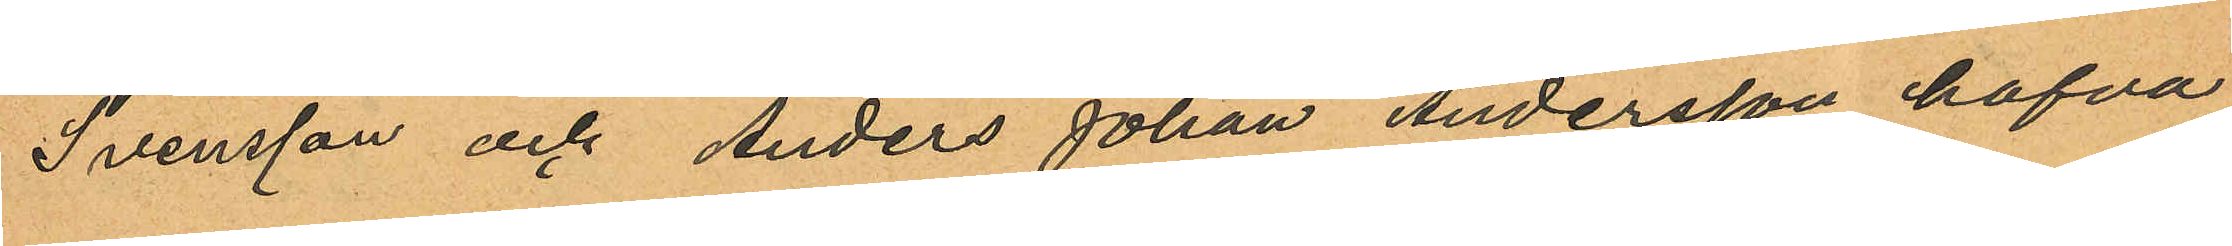Svensson och Anders Johan Andersson hafva
